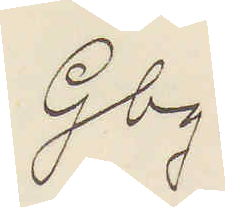Gbg.
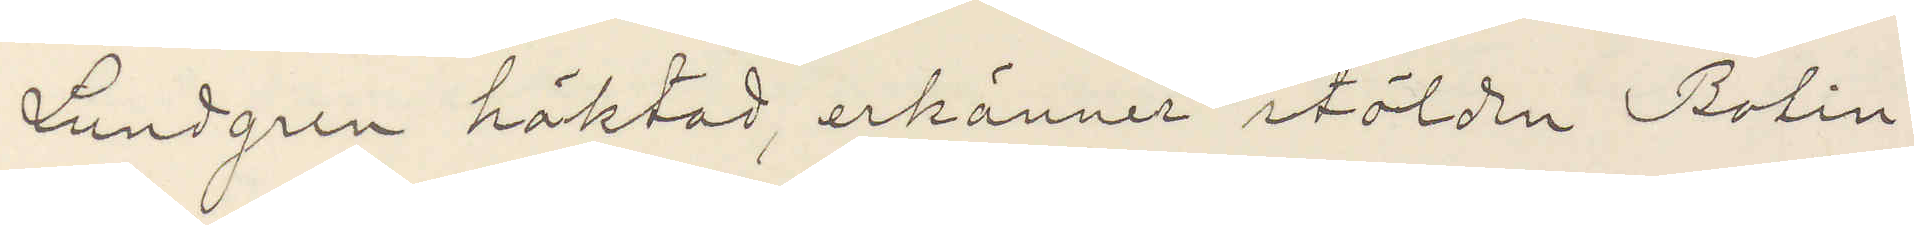Lundgren häktad, erkänner stölden Bolin,
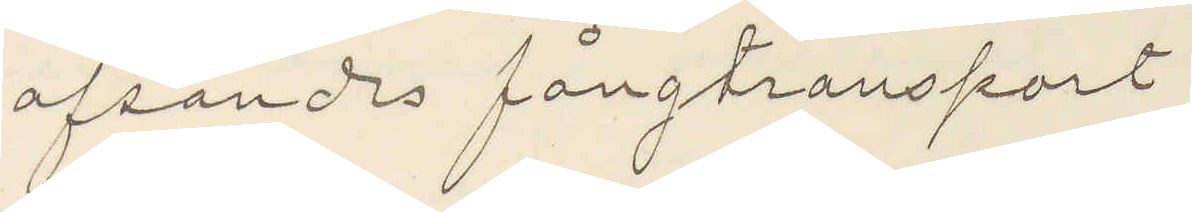afsänds fångtransport
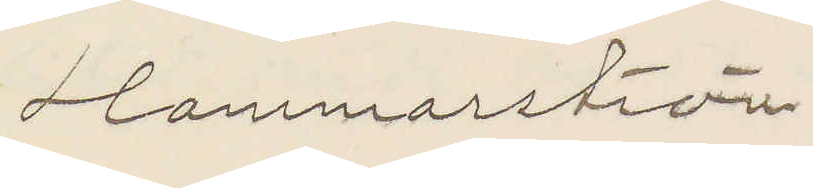Hammarström.
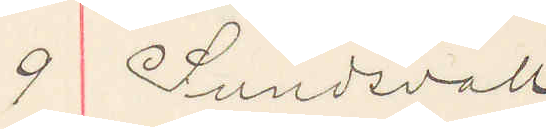9 Sundsvall
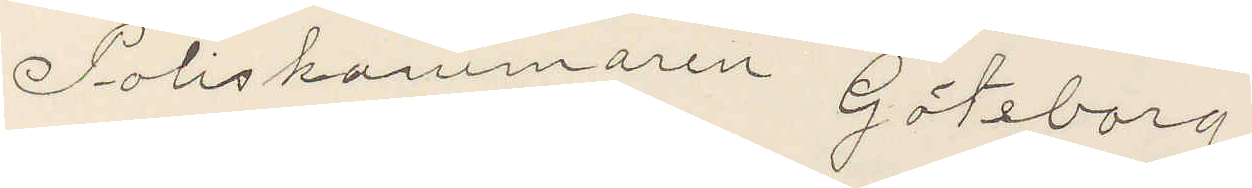Poliskammaren Göteborg
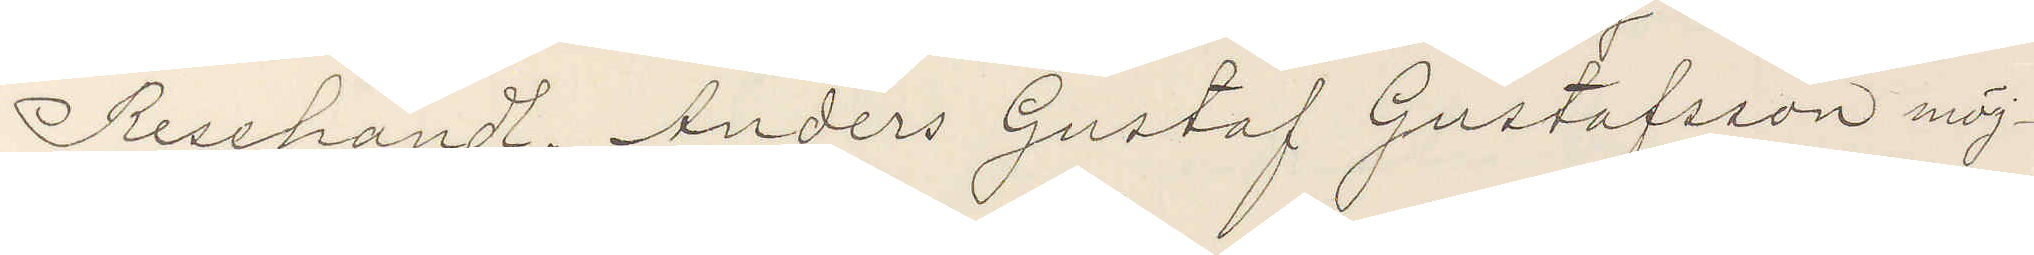Resehandl Anders Gustaf Gustafsson möj¬
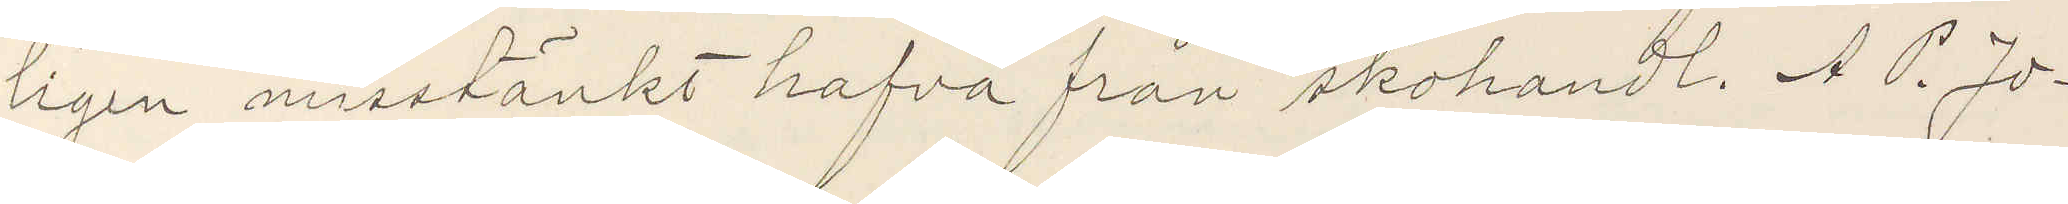ligen misstänkt hafva från skohandl. A P. Jo¬
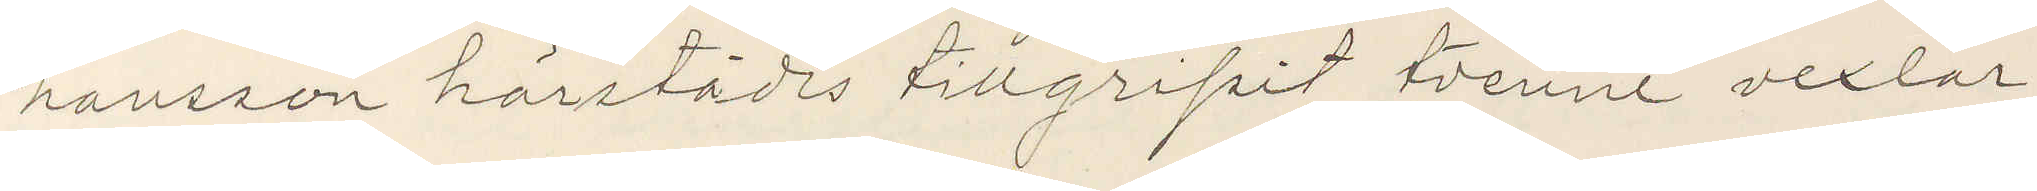hansson härstädes tillgripit tvenne vexlar
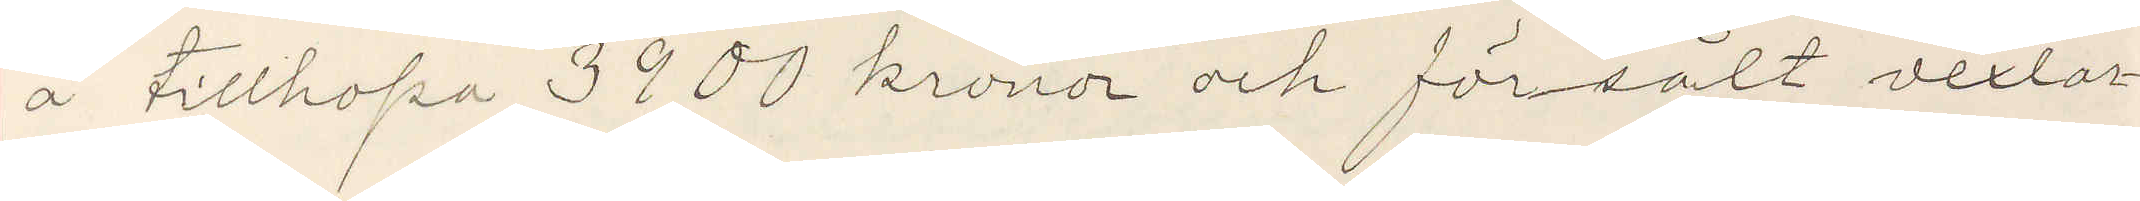å tillhopa 3900 kronor och försålt vexlar¬
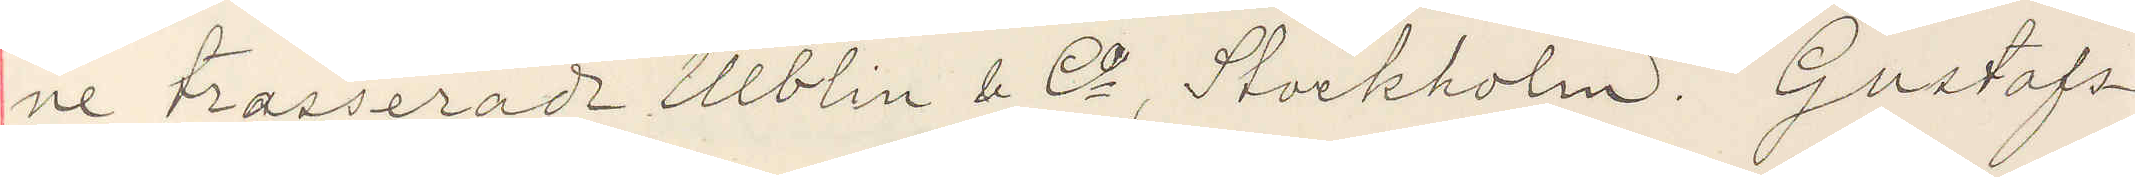ne trasserade Ullbin & Co Stockholm. Gustafs¬
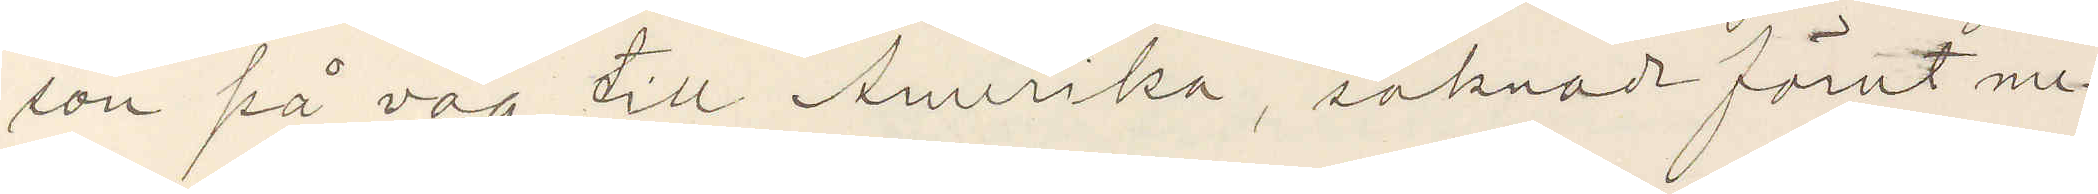son på väg till Amerika, saknadt förut me¬
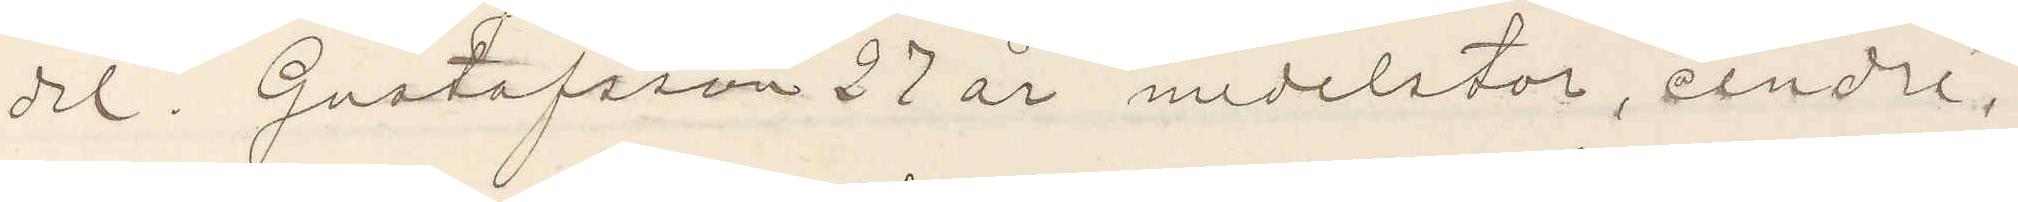del Gustafsson 27 år medelstor, cendré,
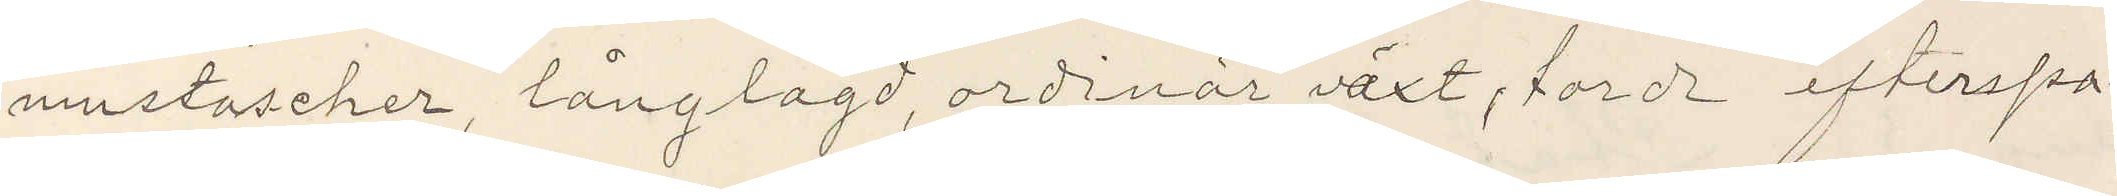mustascher, långlagd, ordinär växt, torde efterspa¬
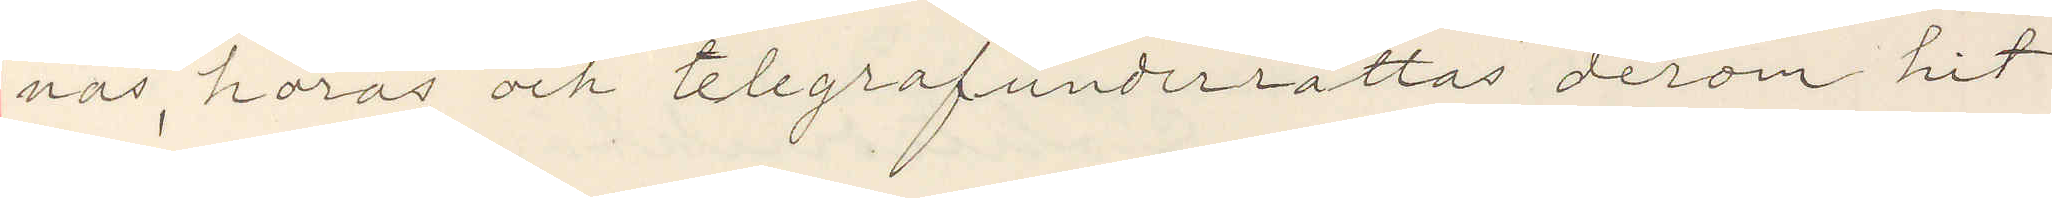nas, höras och telegrafunderrättas derom hit
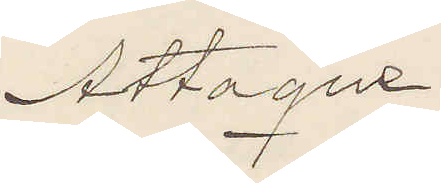Attaque
